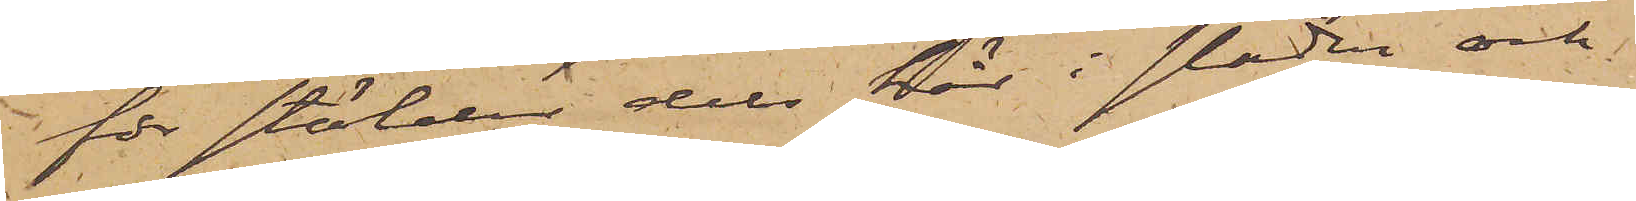för stölder dels här i staden och
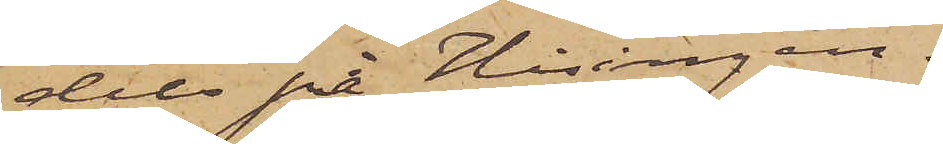dels på Hisingen.
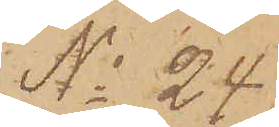No 24
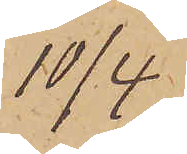10/4.
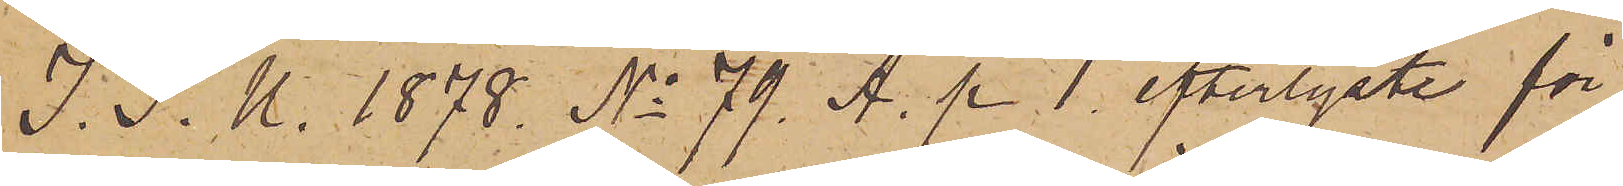I. P. U. 1878. No 79. A. p 1. efterlyste för
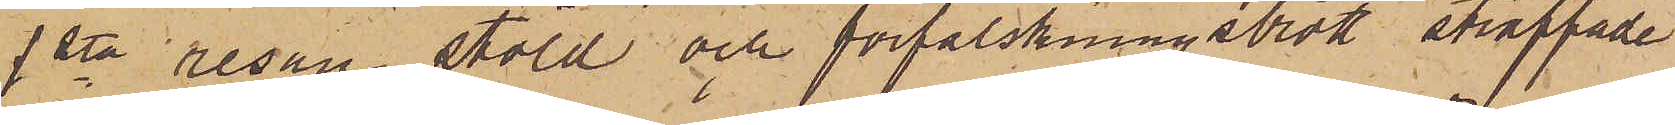1sta resan stöld och förfalskningsbrott straffade
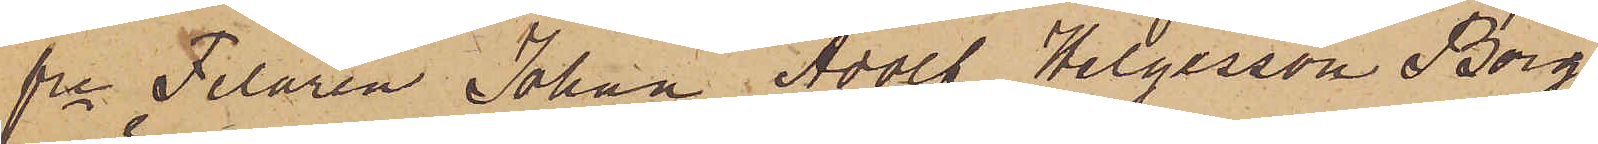fre Filaren Johan Adolf Helgesson Borg
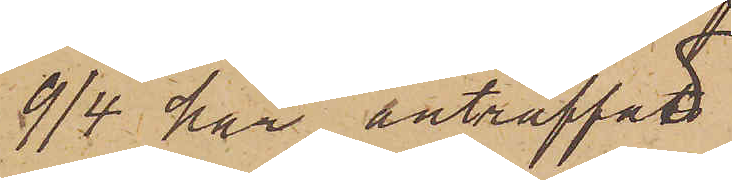9/4 här anträffad
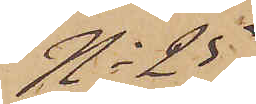No 25
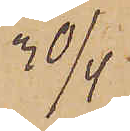30/4
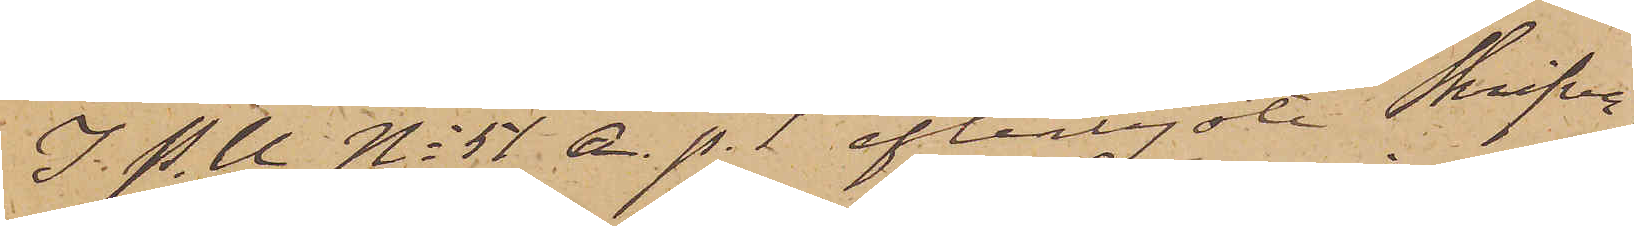I P. U No 51 A. p. 1 efterlyste Skrifva¬
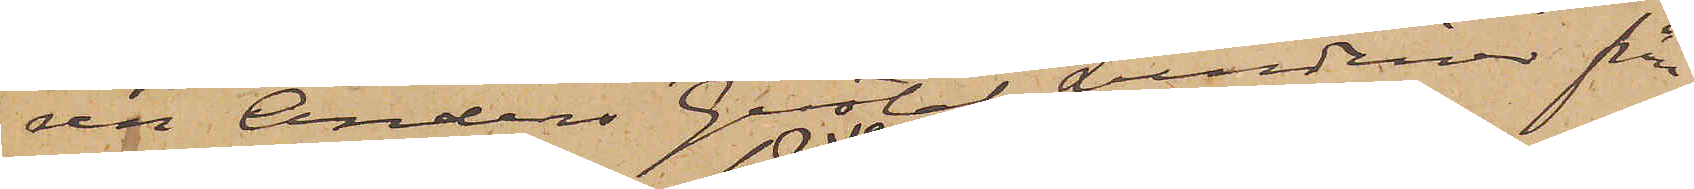ren Anders Gustaf Lundinus från
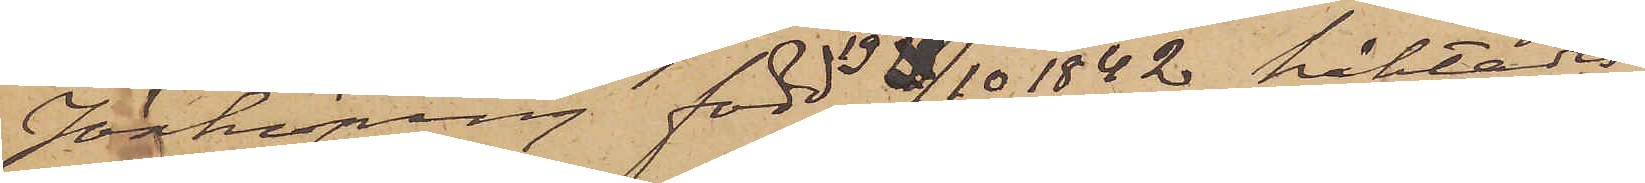Jönköping, född 19/10 1842 häktades
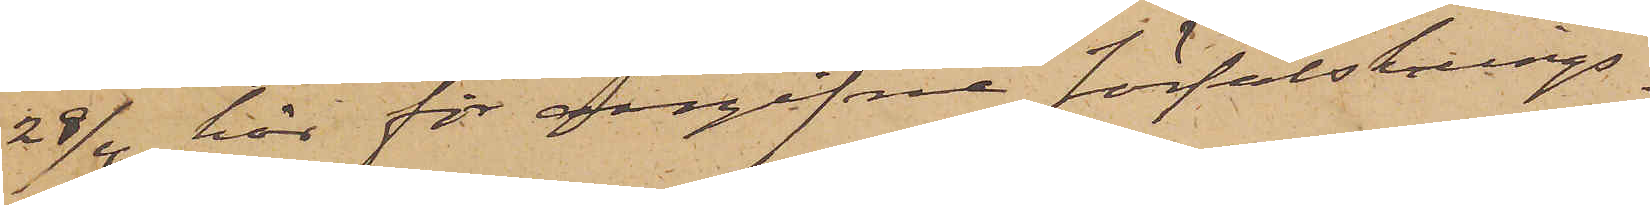29/4 här för angifne förfalsknings¬
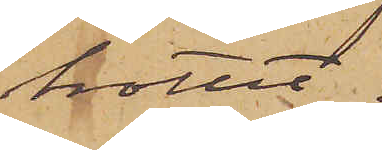brottet.
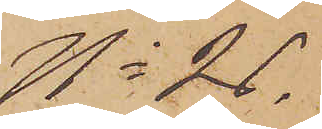No 26.
